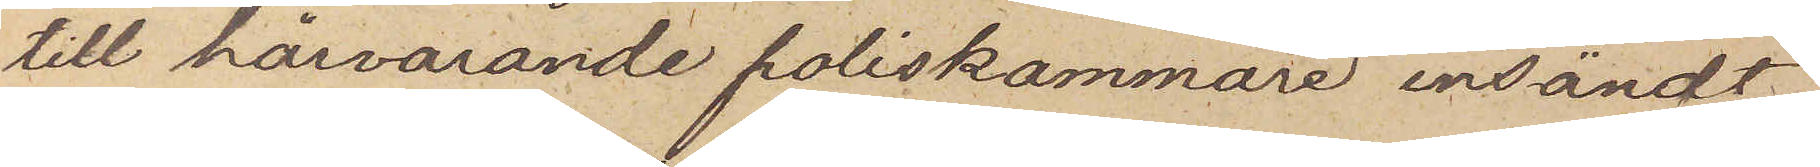till härvarande poliskammare insändt
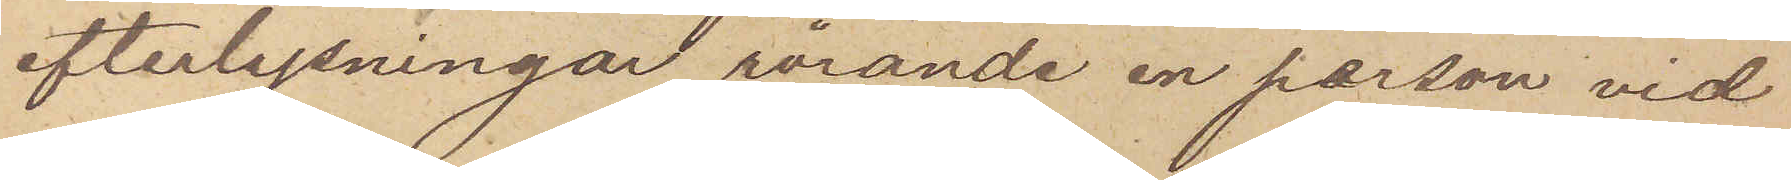efterlysningar rörande en person vid
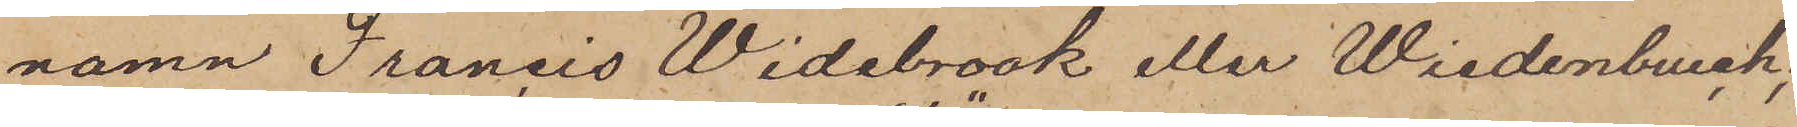namn Francis Widebrook eller Wiedenburck;
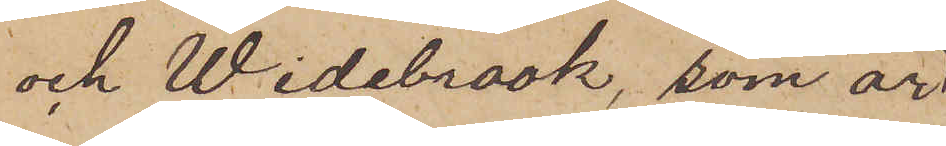och Widebrook, som är
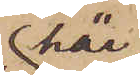här
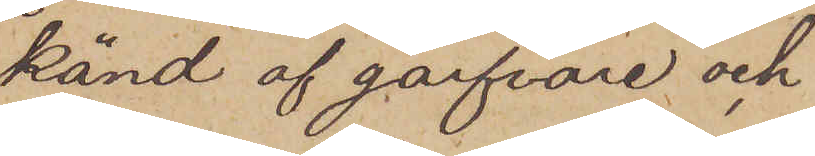känd af garfvare och
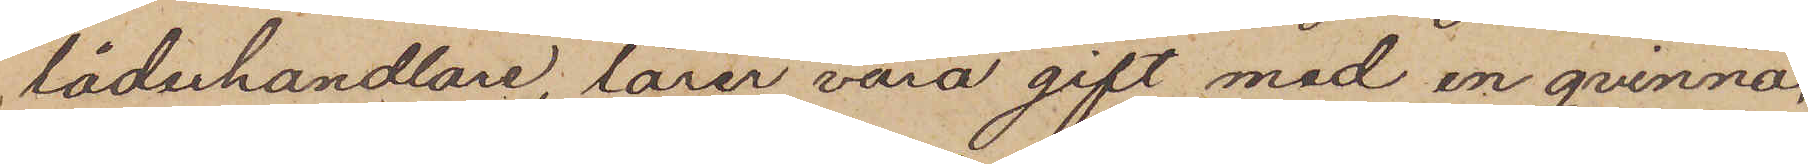läderhandlare, lärer vara gift med en qvinna,
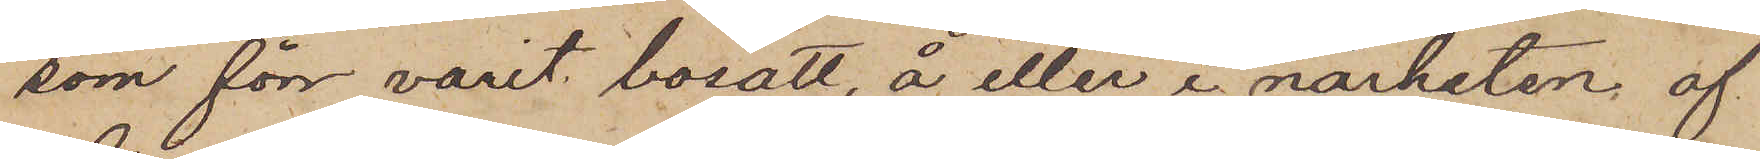som förr varit bosatt, å eller i närheten af
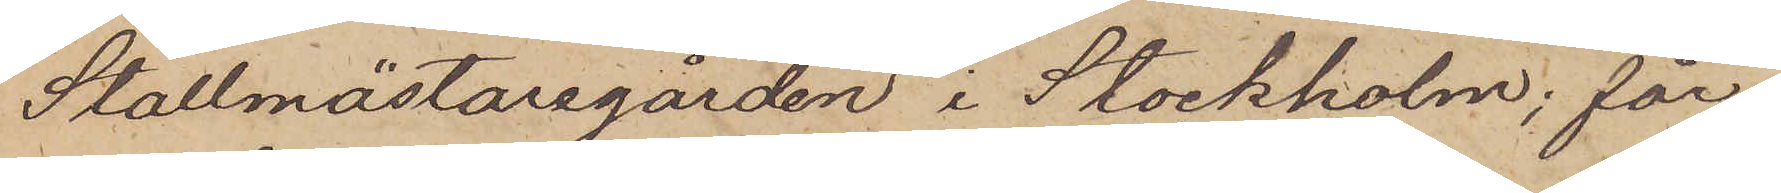Stallmästaregården i Stockholm; får
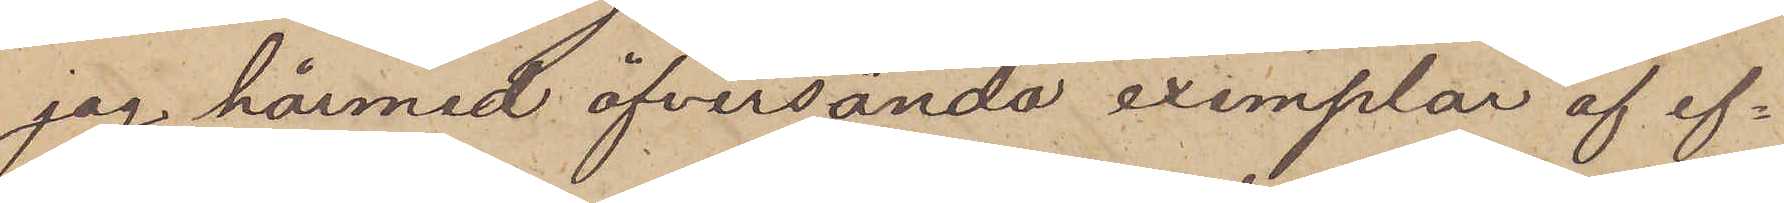jag härmed öfversända exemplar af ef¬
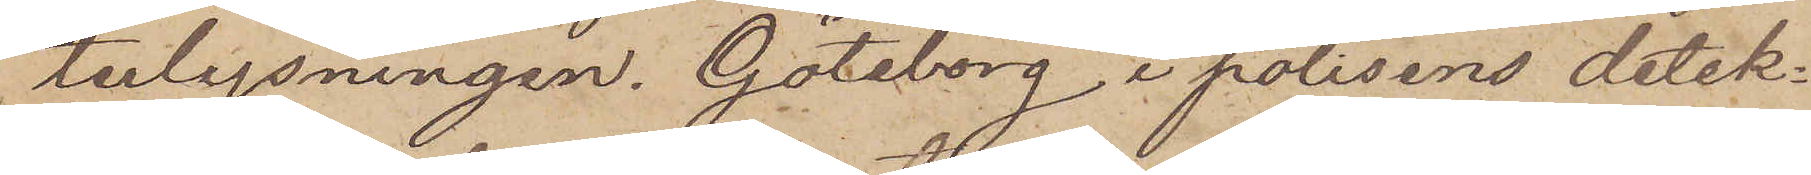terlysningen. Göteborg i polisens detek¬
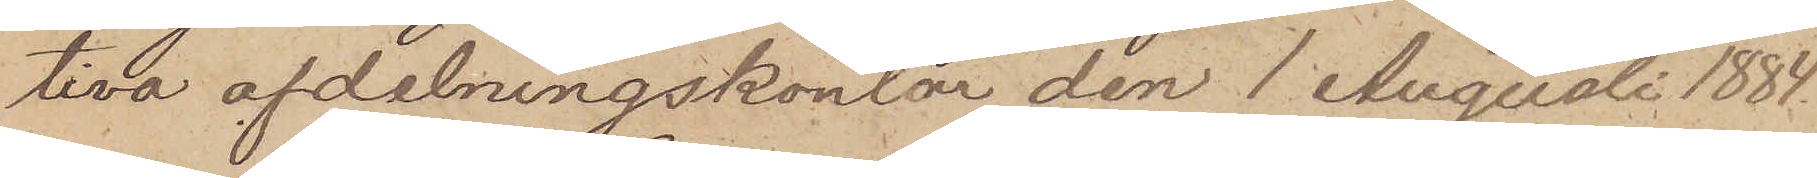tiva afdelningskontor den 1 Augusti 1884.
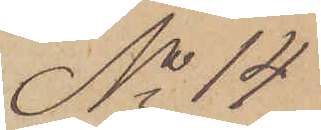No 14
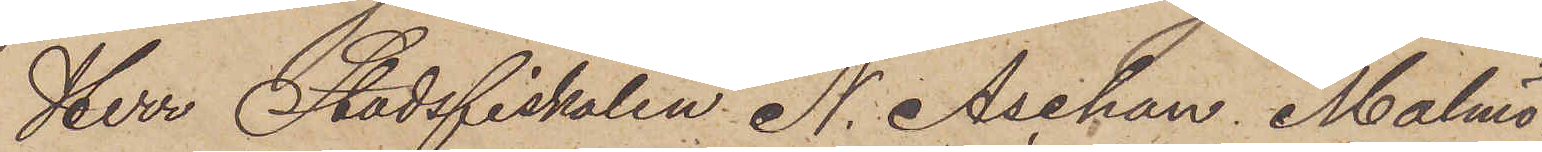Herr Stadsfiskalen N. Aschan Malmö.
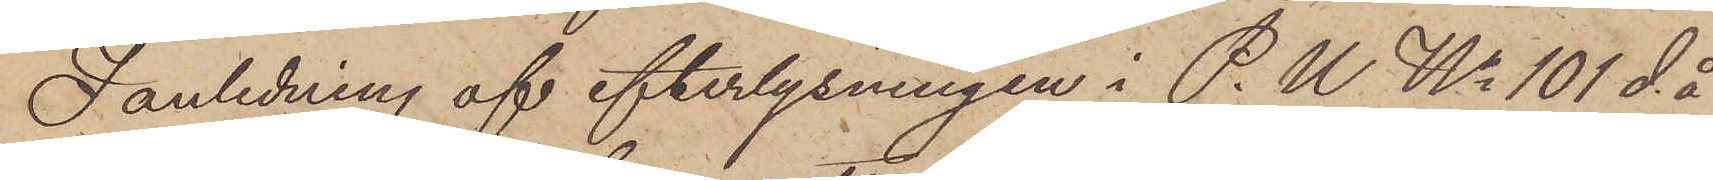I anledning af efterlysningen i P. U. No 101 d.å
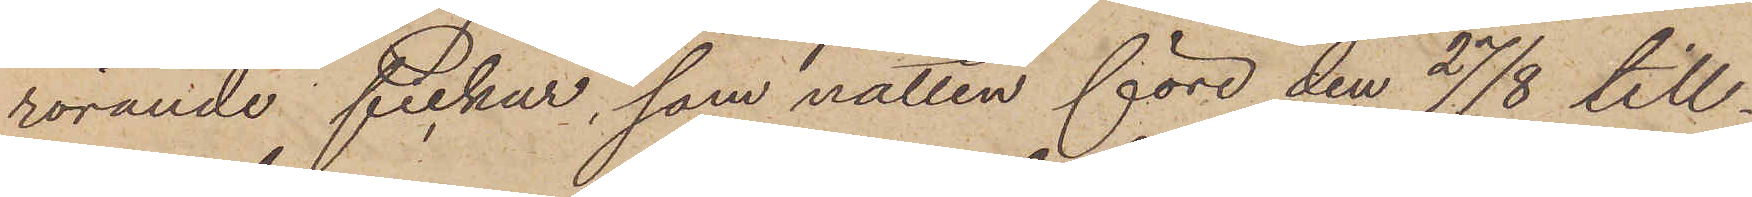rörande fickur, som natten före den 27/8 till¬
